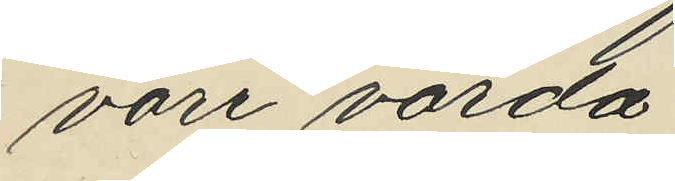vore värda:
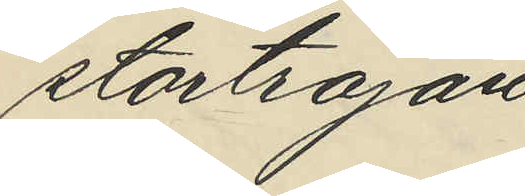stortröjan
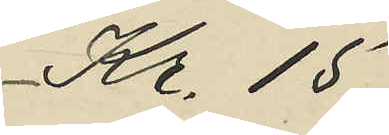Kr. 15.
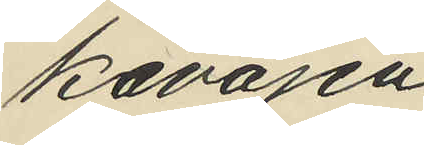kavajen
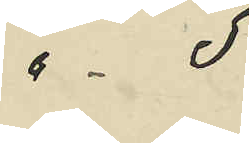" - 5
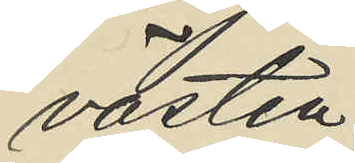västen
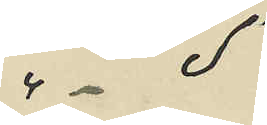"- 5
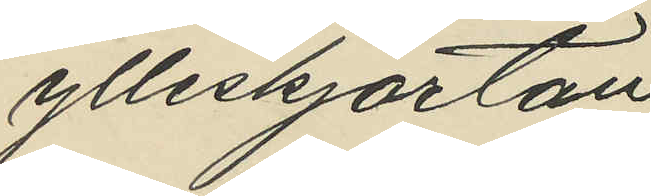ylleskjortan
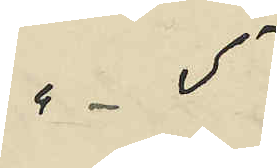" - 5
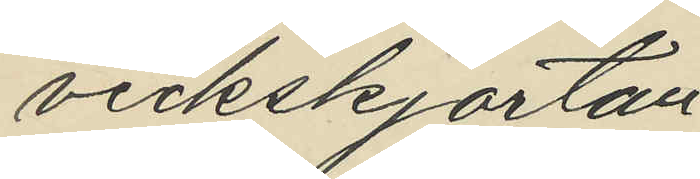veckskjortan
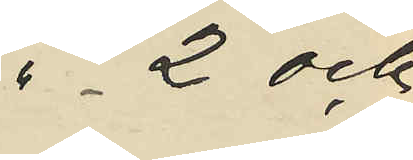" - 2 och
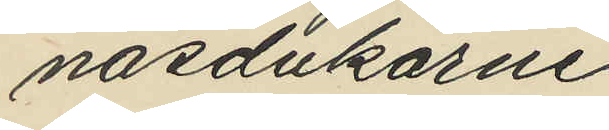näsdukarne
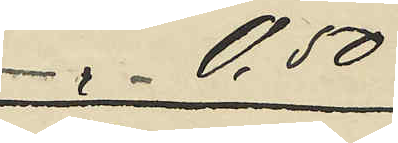" - 0,50
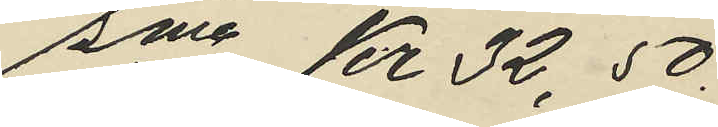Sma Kr 32,50.
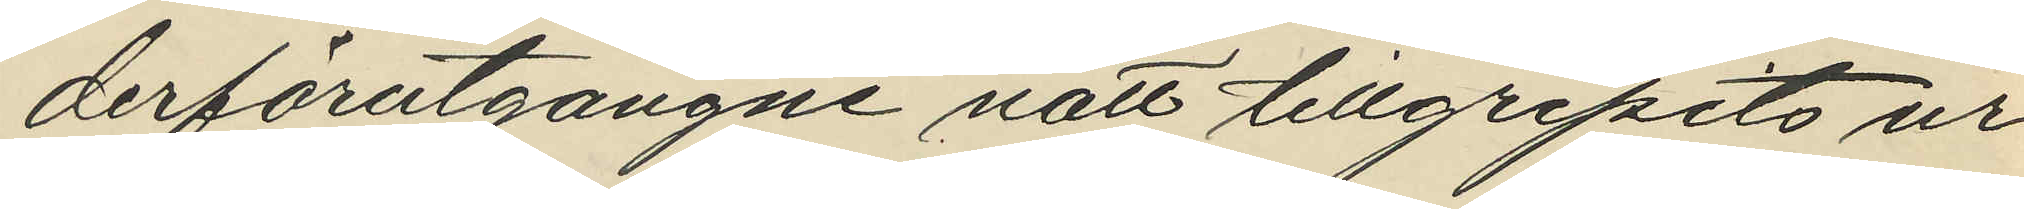derförutgångne natt tillgripits ur
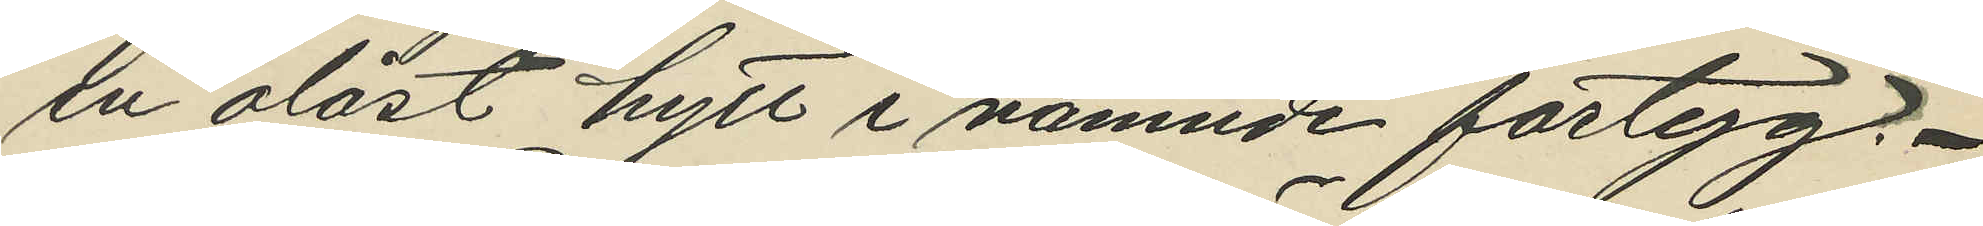en olåst hytt i nämnde fartyg.
